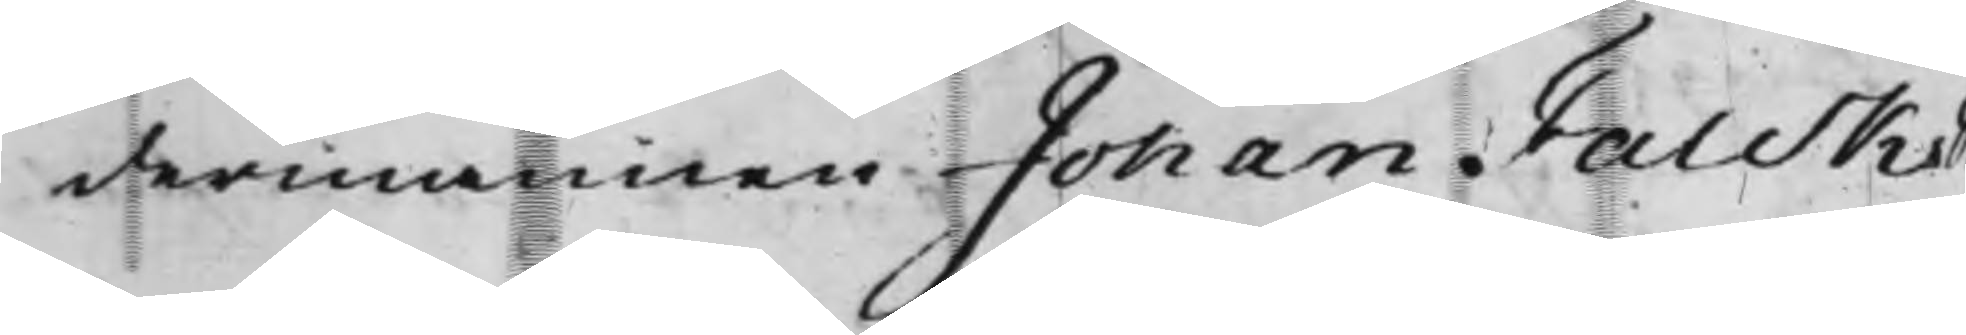dermannen Johan Falcks
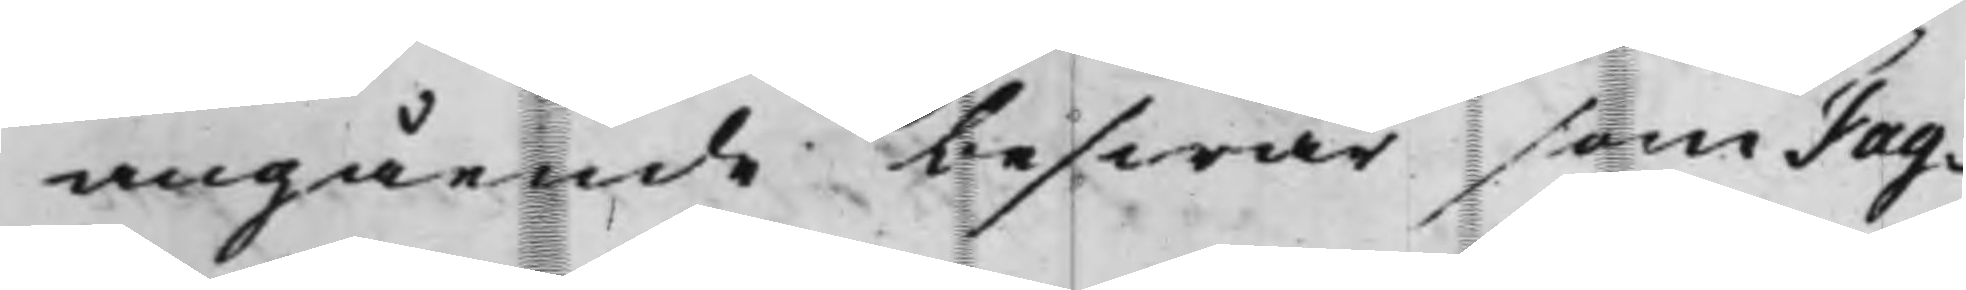angående beswär som Fag¬
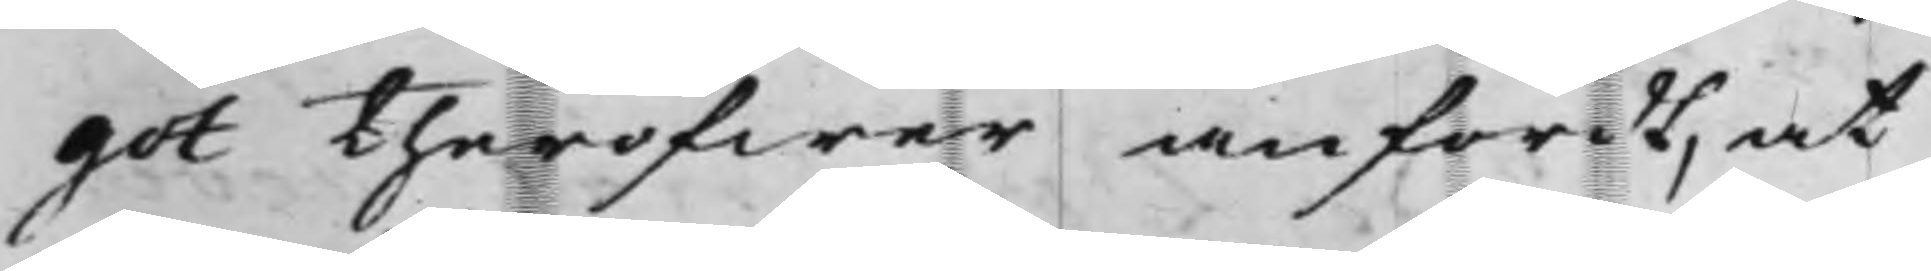got theröfwer anfördt, at
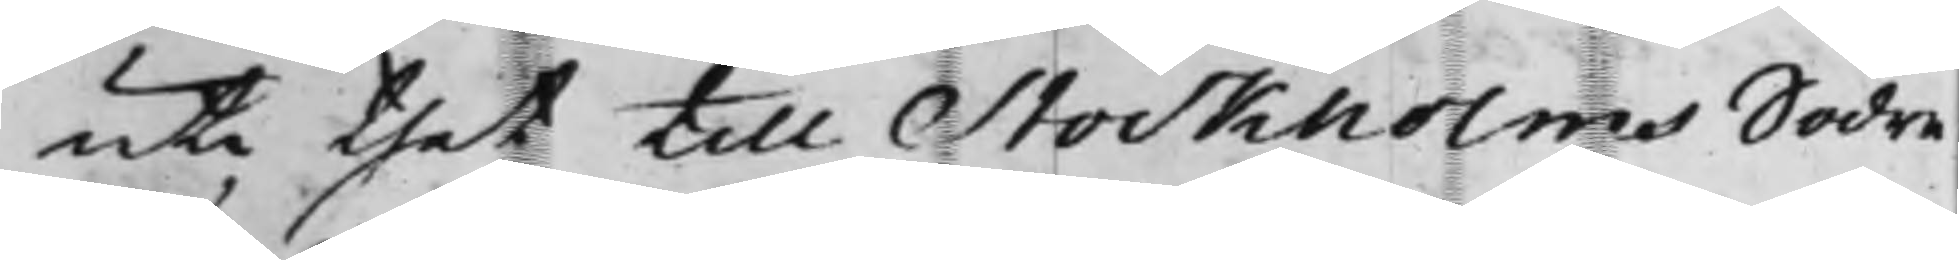uti thet till Stockholms Södre
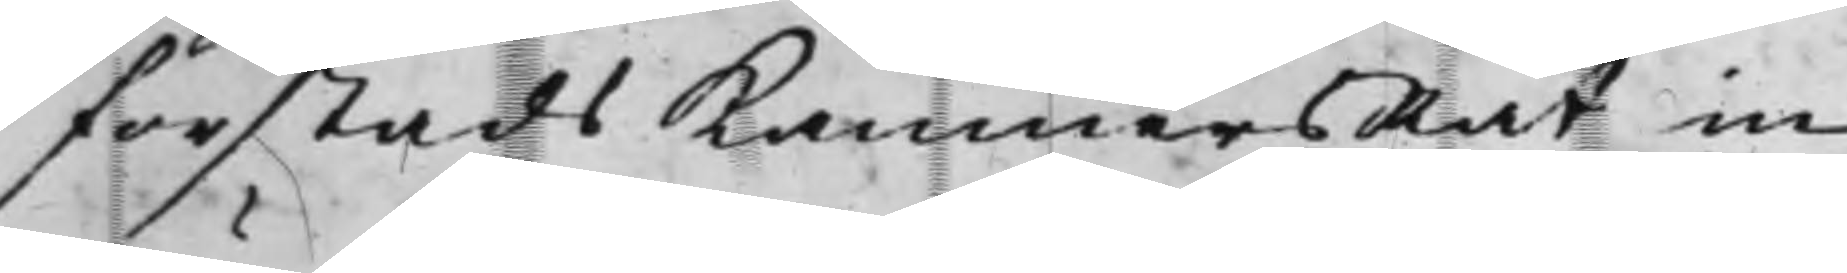förstads KämnersRät in¬
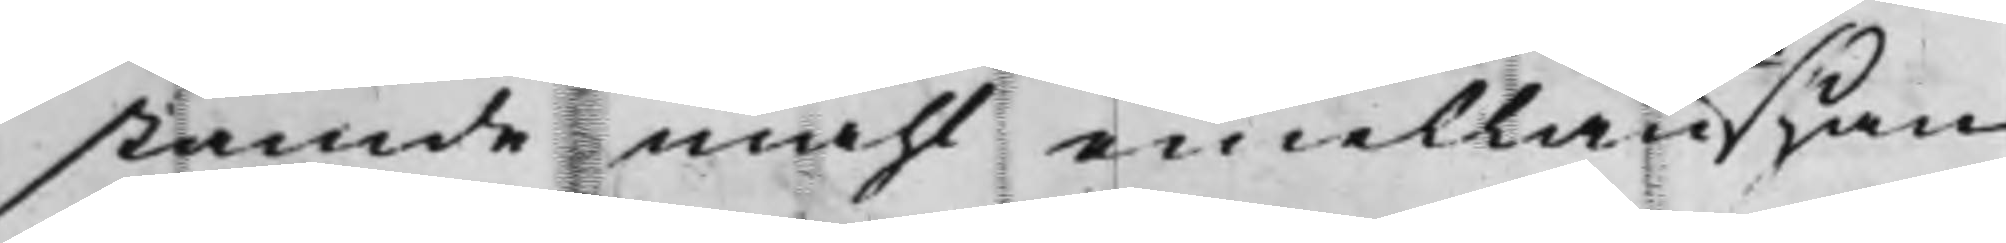stämde måhl emellan han¬
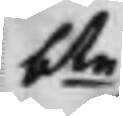bte
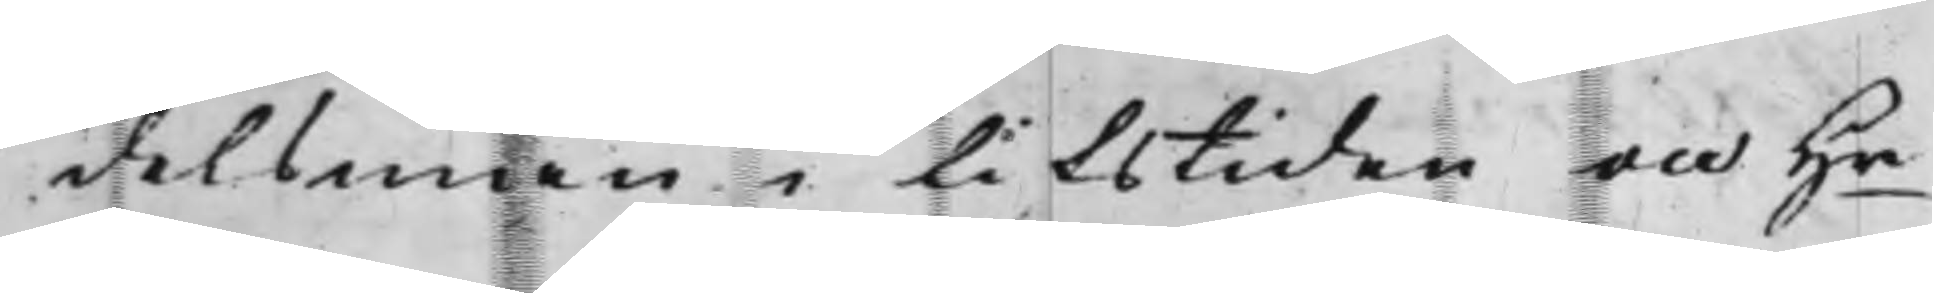delsman i lifstiden och Hr
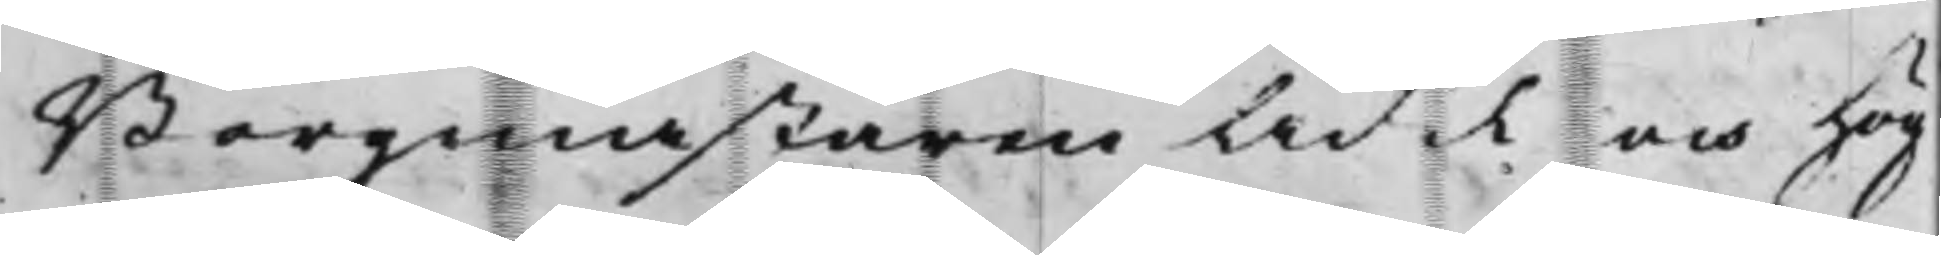Borgmästaren Ädel och hög¬
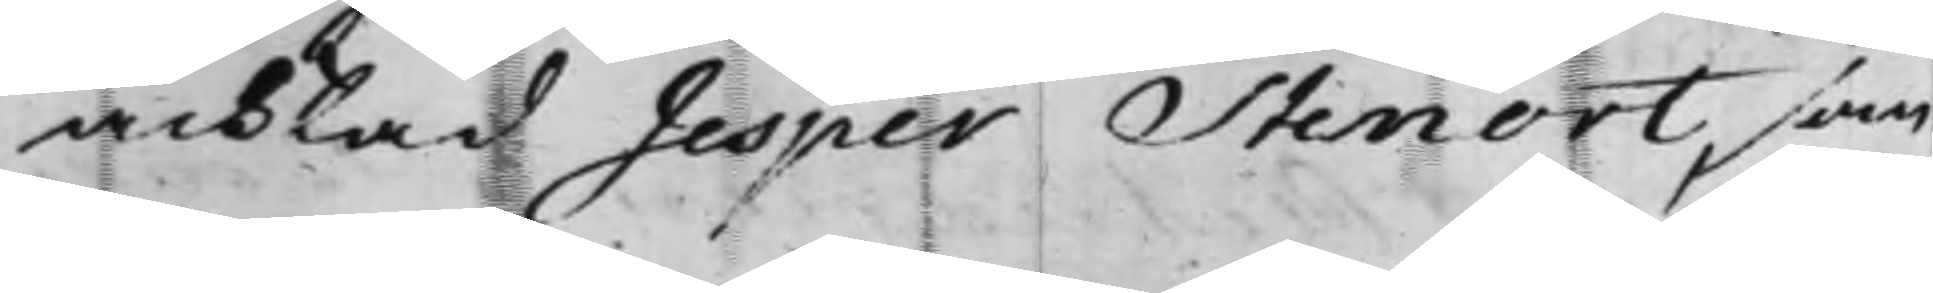achtad Jesper Stenort, som
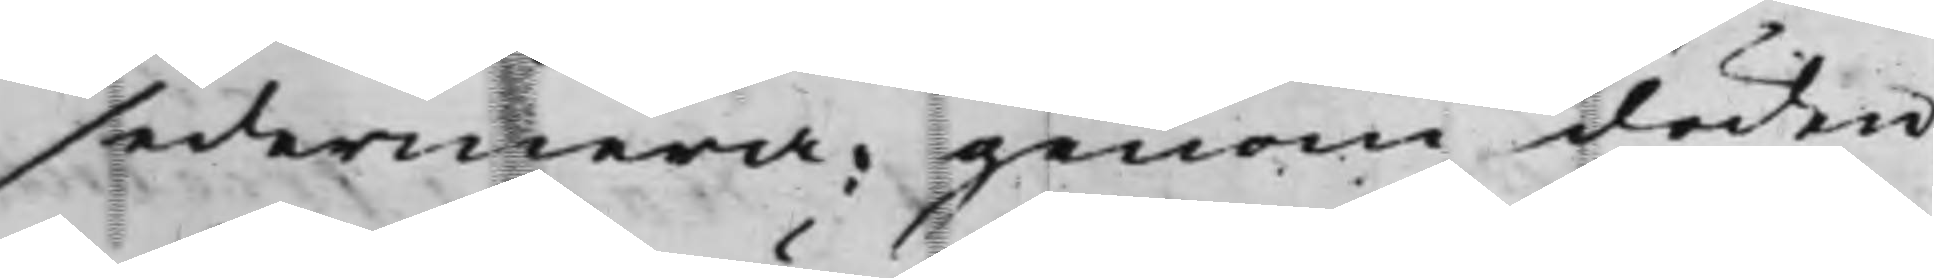sedermera, genom döden
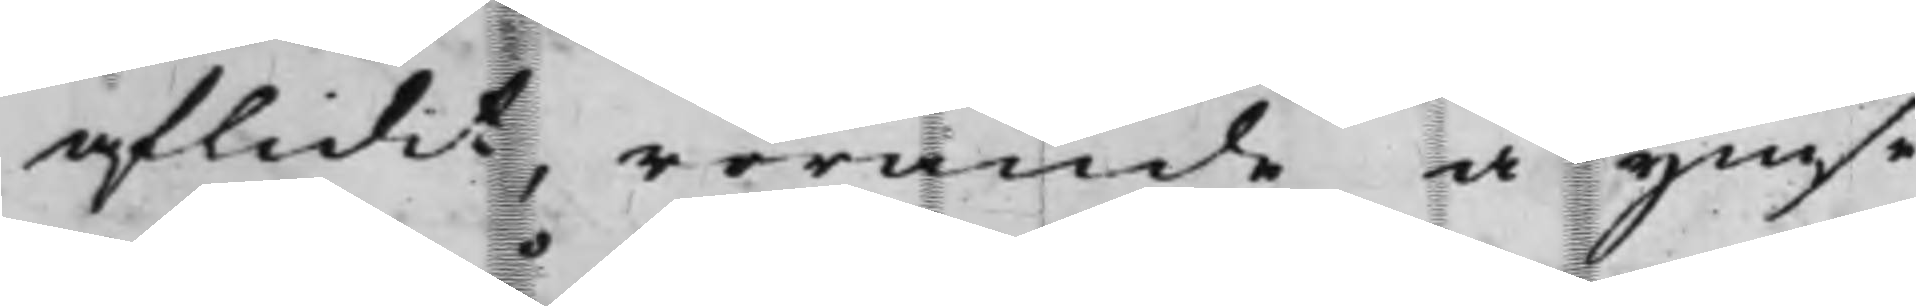aflidit, rörande å ymse
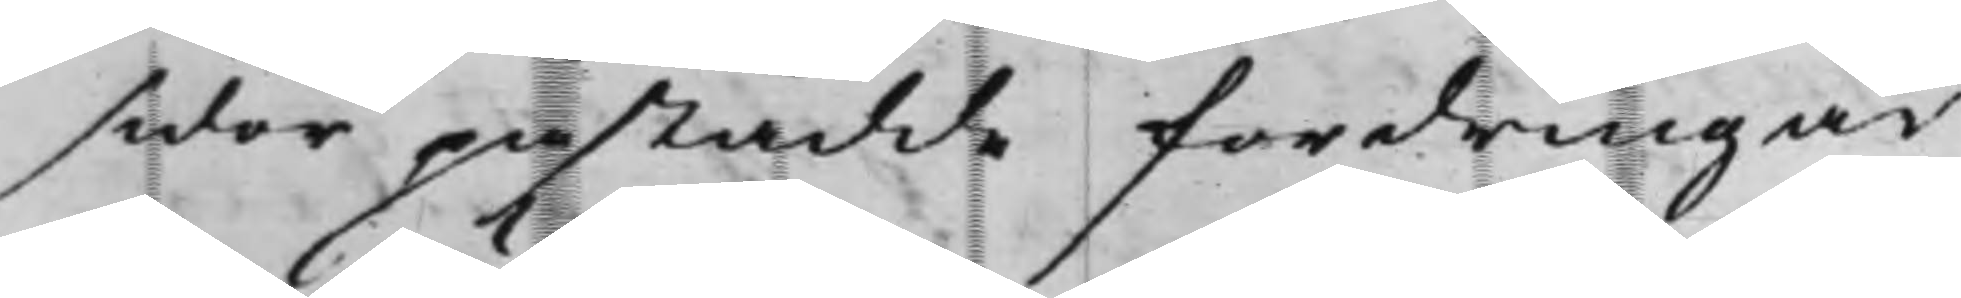sidor påstådde fordringar
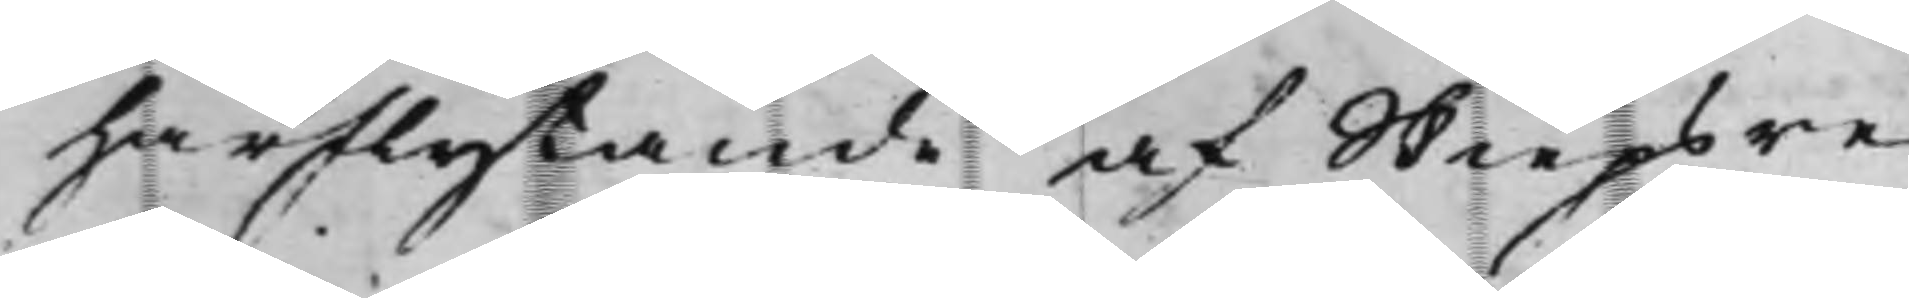härflytande af Skiepsre¬
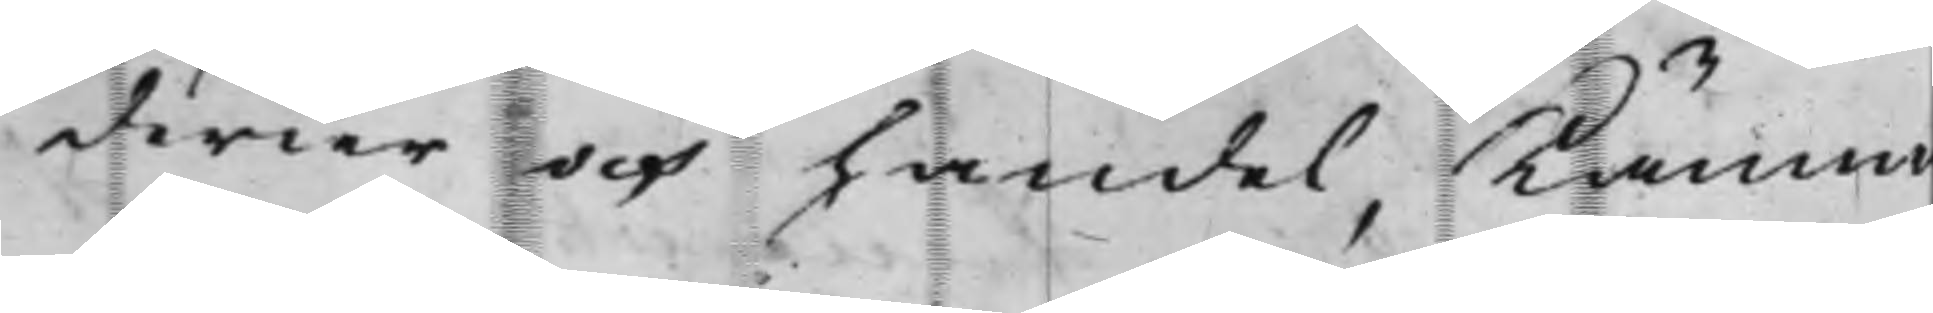derier och handel, Kämn
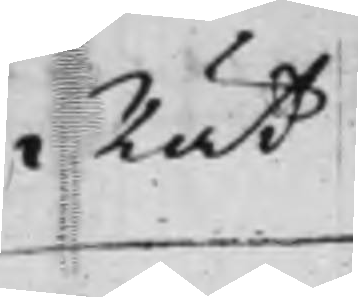Rät¬
